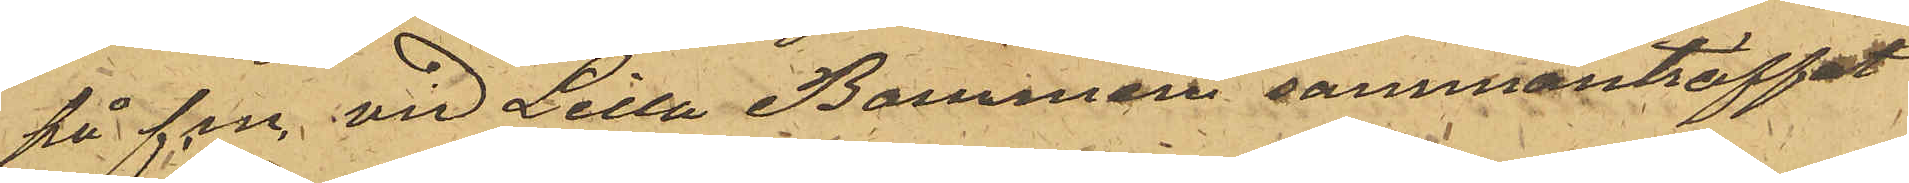på f.m. vid Lilla Bommen sammanträffat
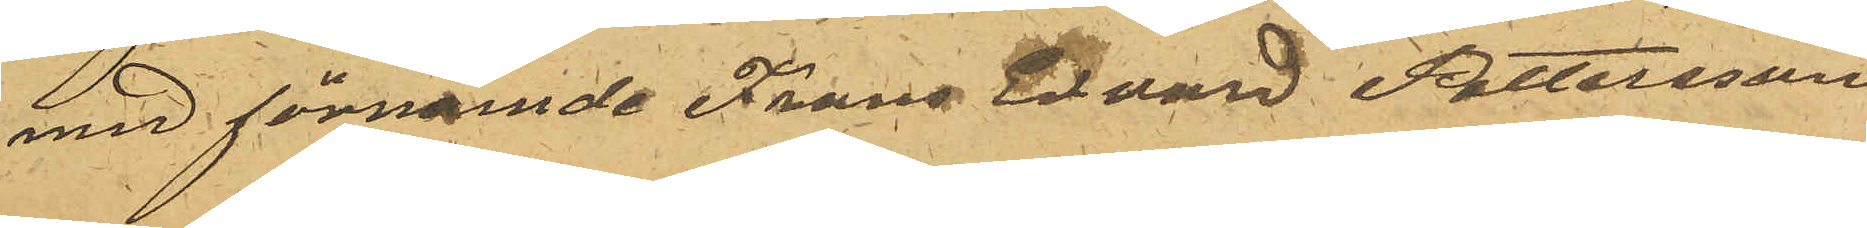med förnämde Frans Edvard Pettersson
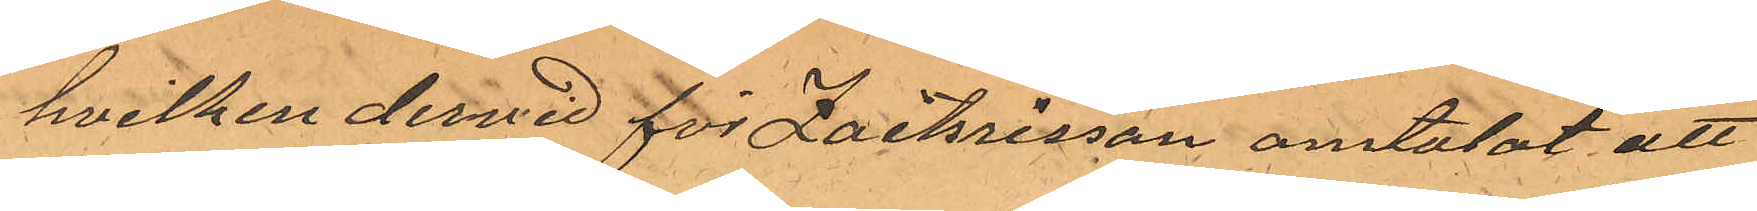hvilken dervid för Zachrisson omtalat att
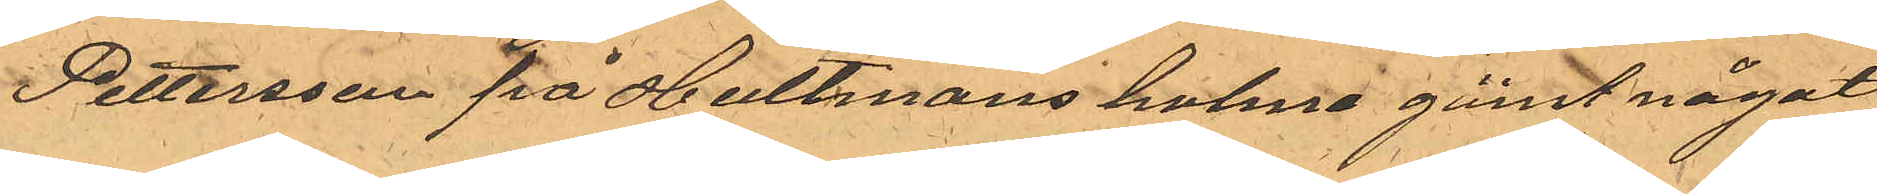Pettersson på Hultmans holme gömt något
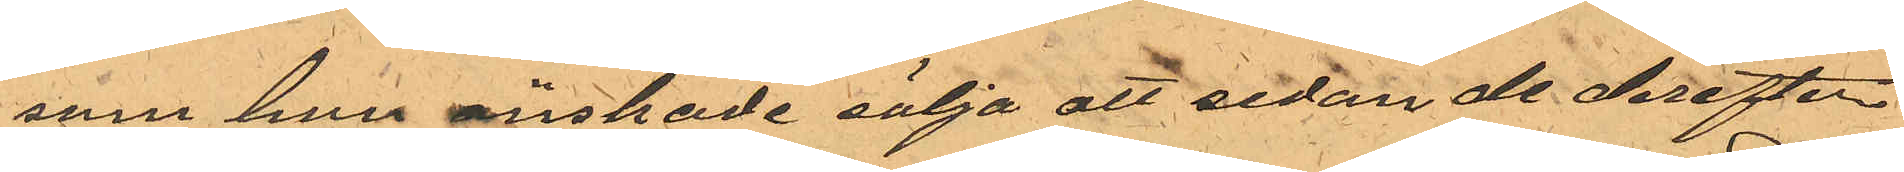som han önskade sälja att sedan de derefter
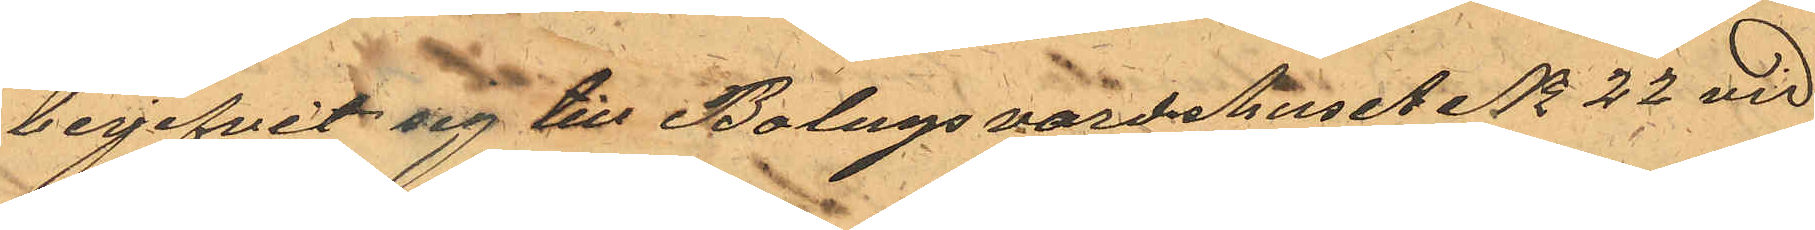begifvit sig till Bolagsvardshuset No 22 vid
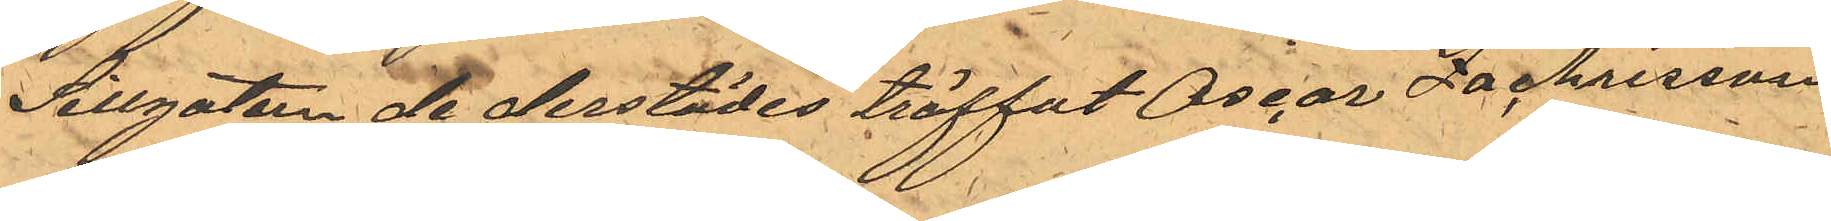Sillgatan de derstädes träffat Oscar Zachrisson
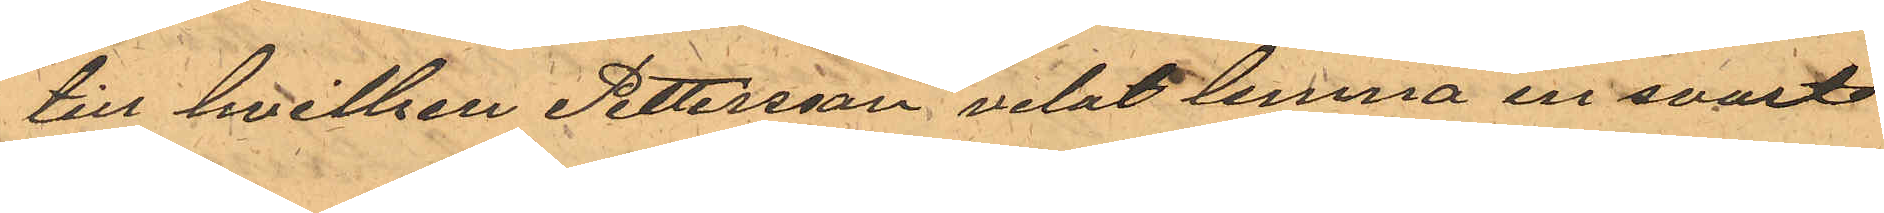till hvilken Pettersson velat lemna en svart
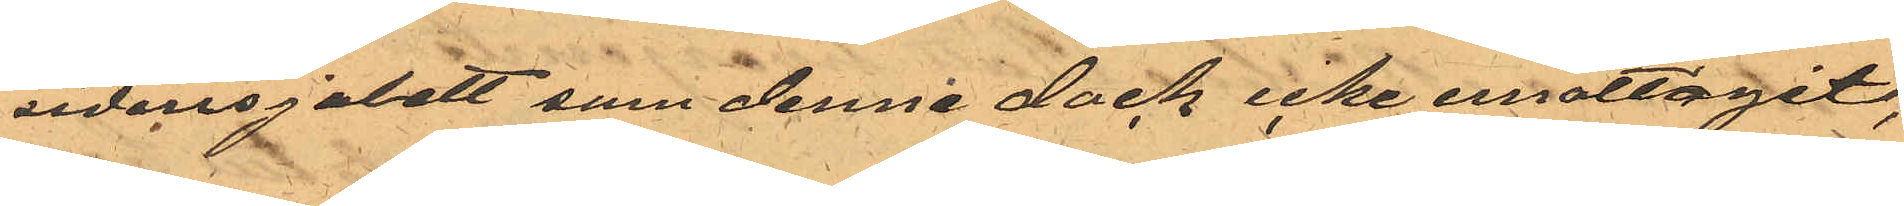sidensjalett som denne dock icke emottagit;
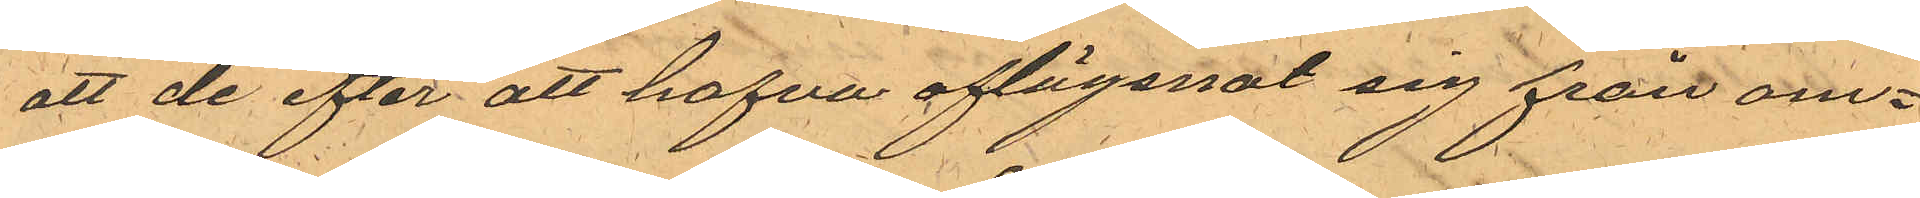att de efter att hafva aflägsnat sig från om¬
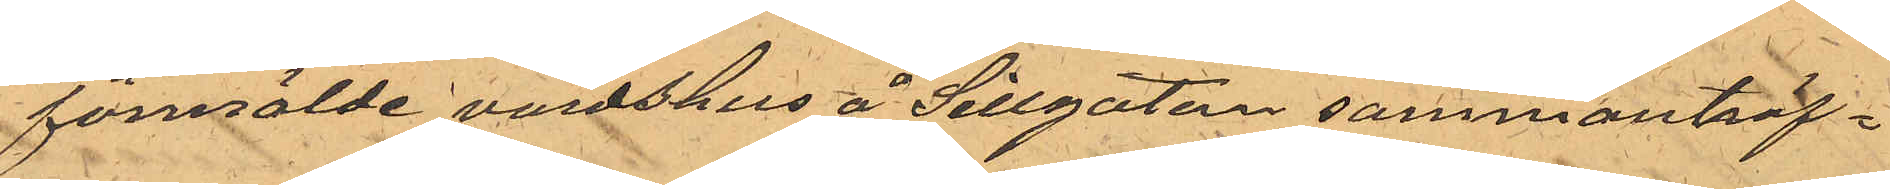förmälde värdshus å Sillgatan sammanträf¬
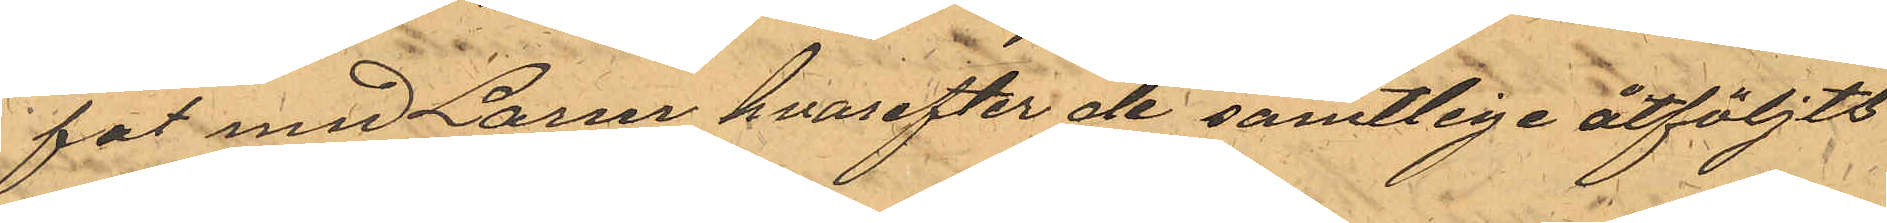fat med Larm hvarefter de samtlige åtföljts
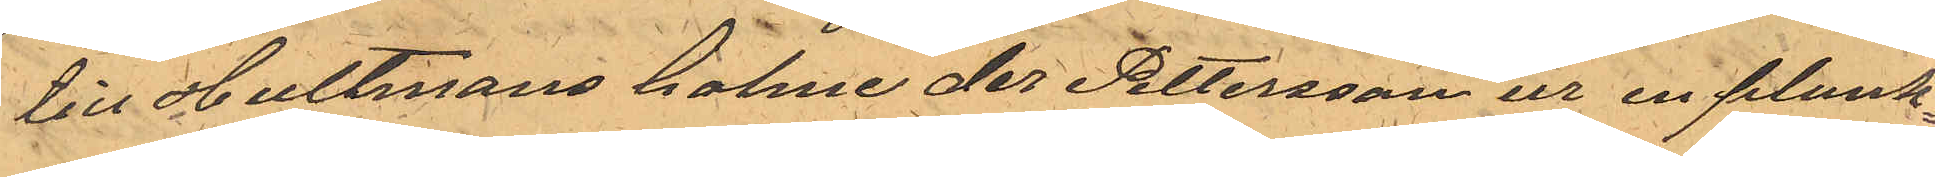till Hultmans holme der Pettersson ur en plank¬
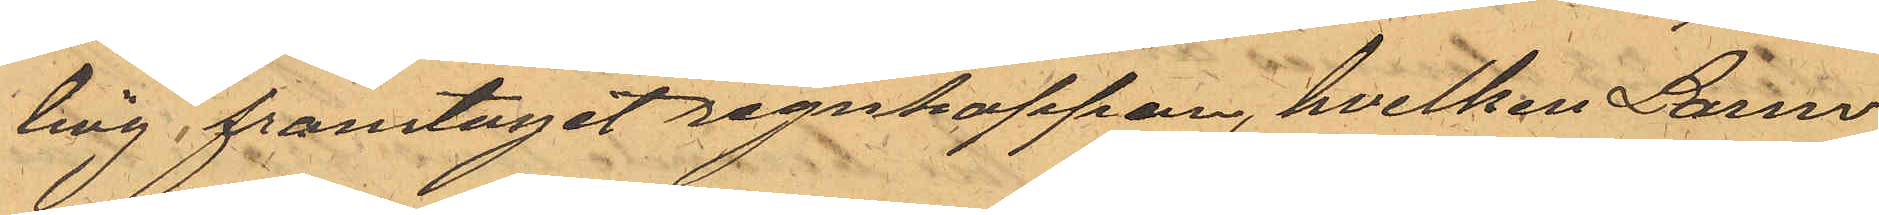hög framtagit regnkappan, hvilken Larm
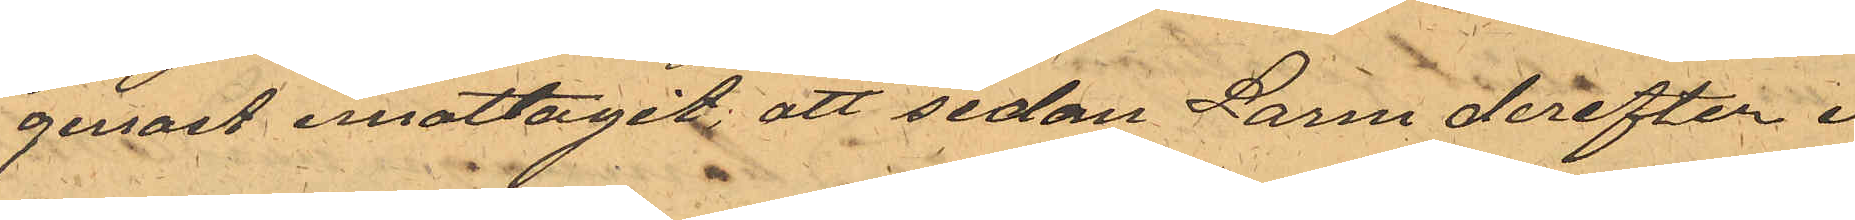genast emottagit, att sedan Larm derefter i
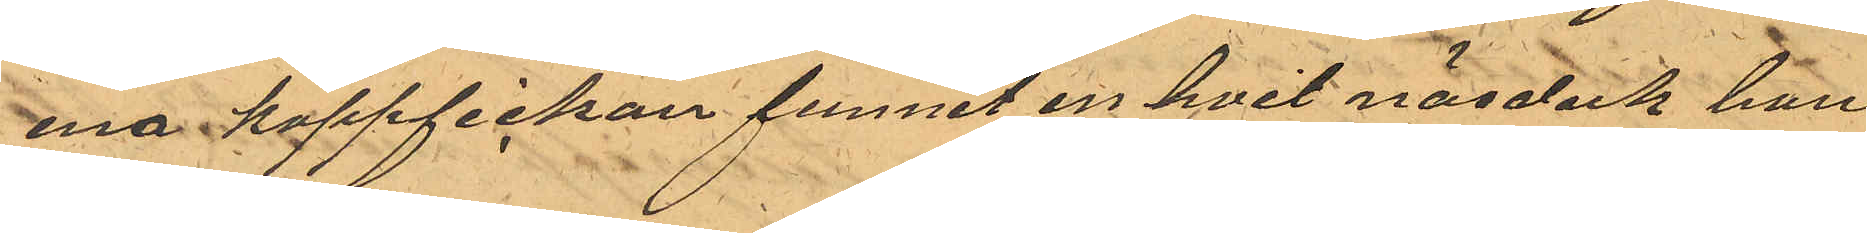ena kappfickan funnit en hvit näsduk han
